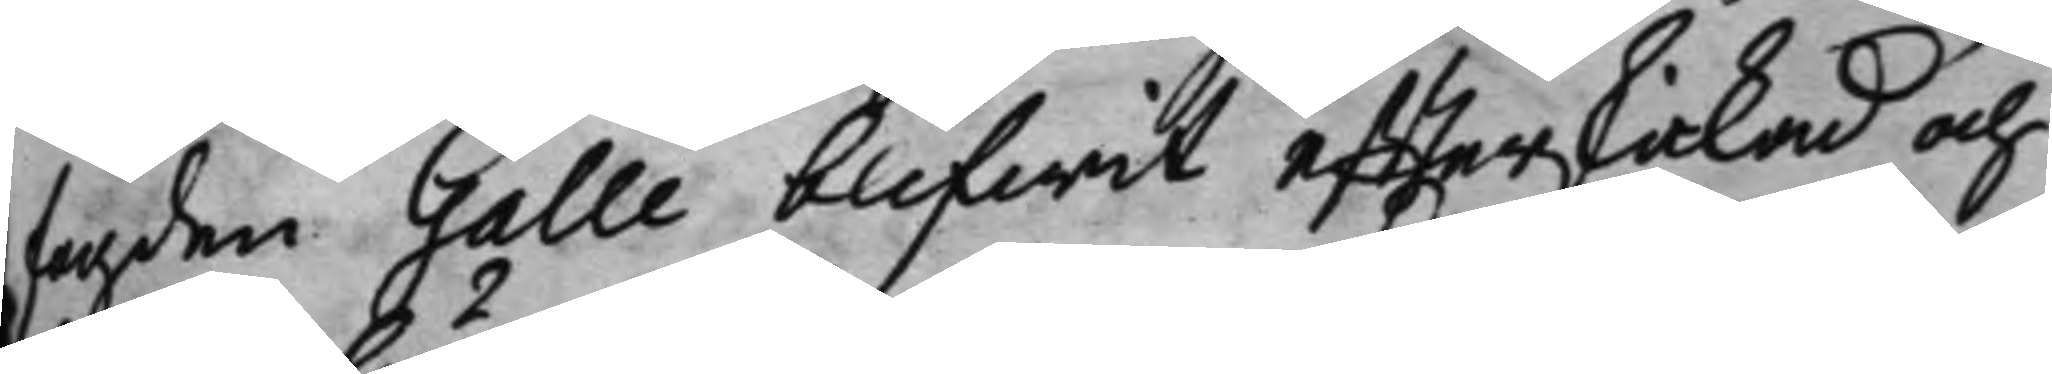fogden Galle blifwit effterskickad och
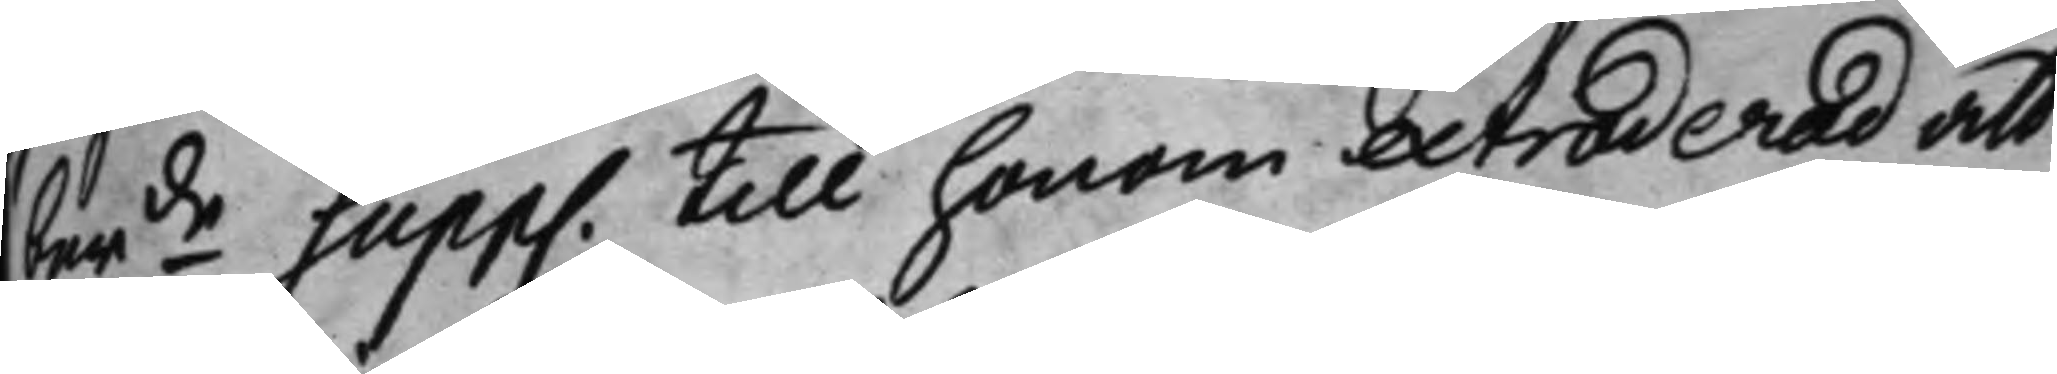berde Supp. till honom extraderad att
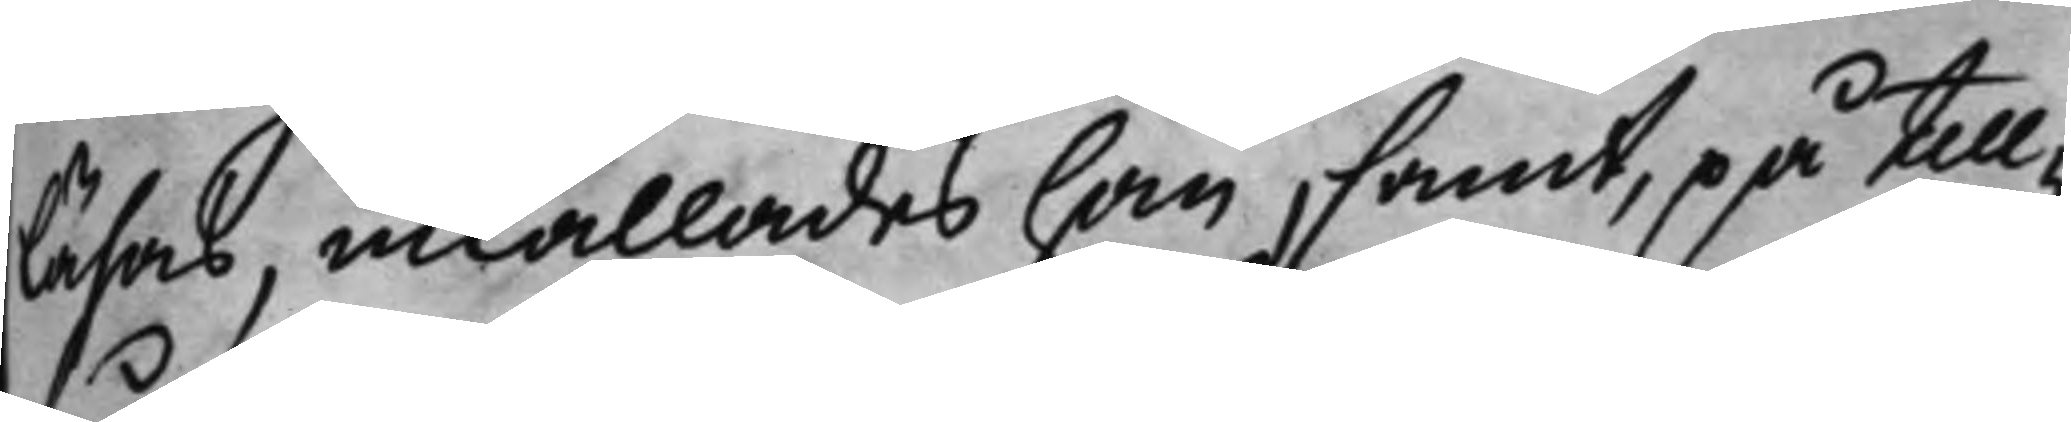läsas, inkallades han, samt, på till¬
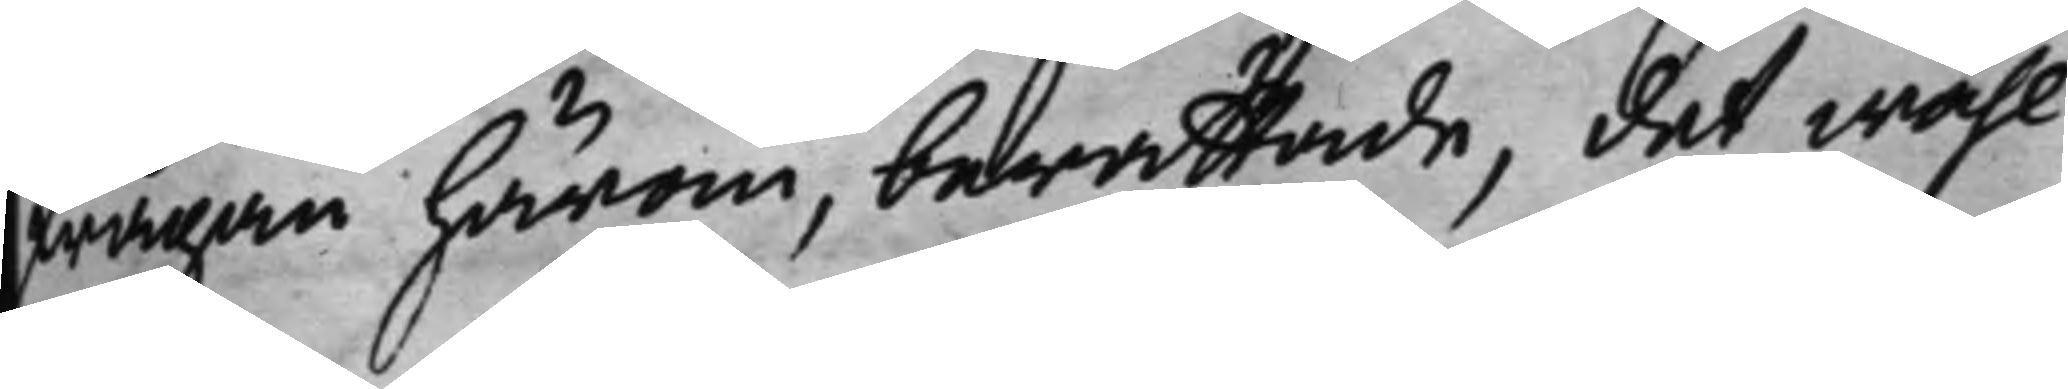frågan härom, berättade, det wähl
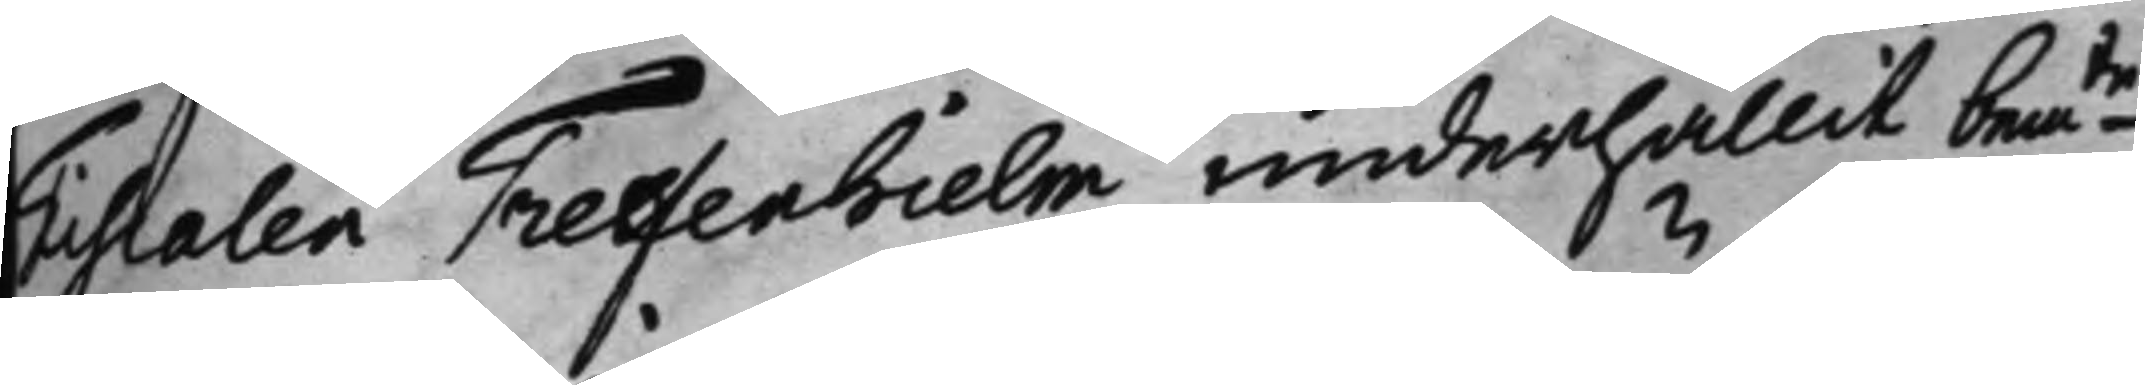Fiscalen Treffenhielm underhållit bemte
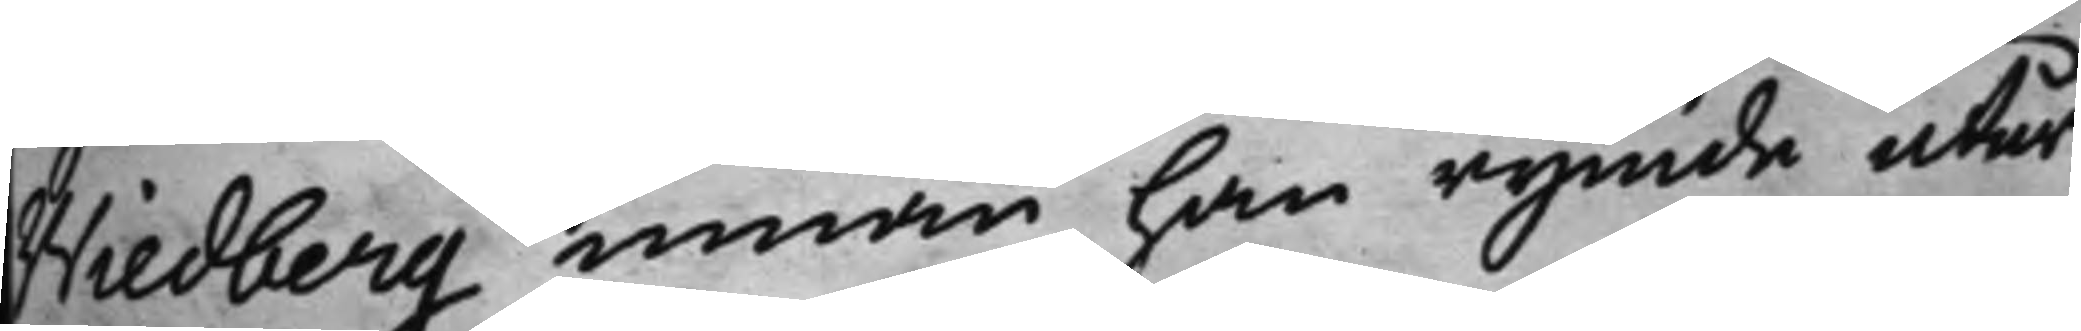Wiedberg innan han rymde utur
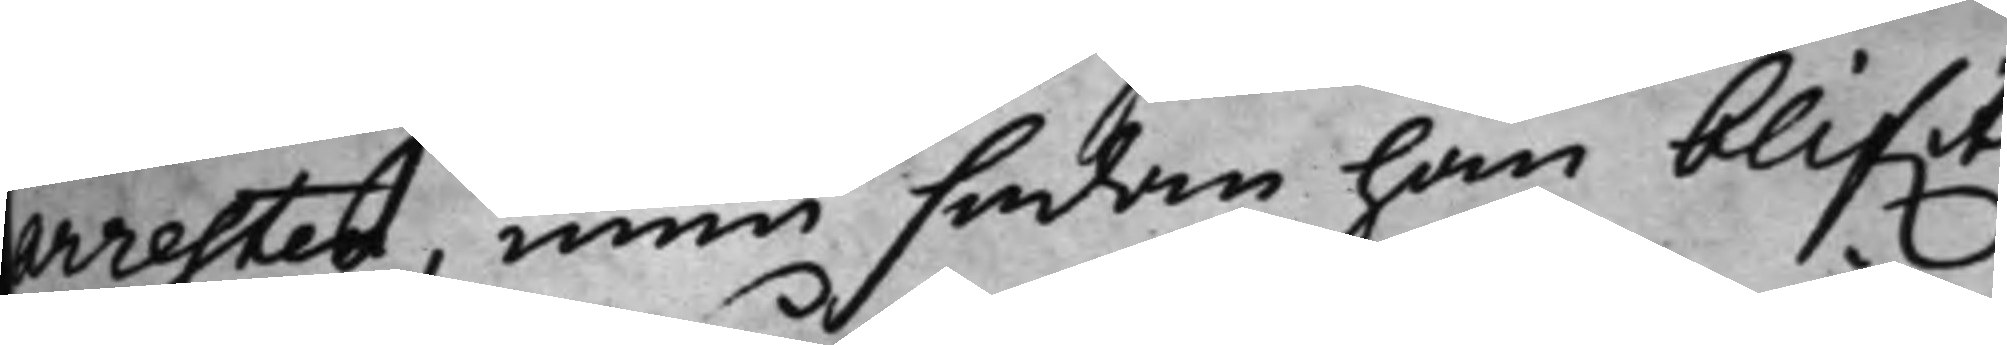arresten, men sedan han blifwit
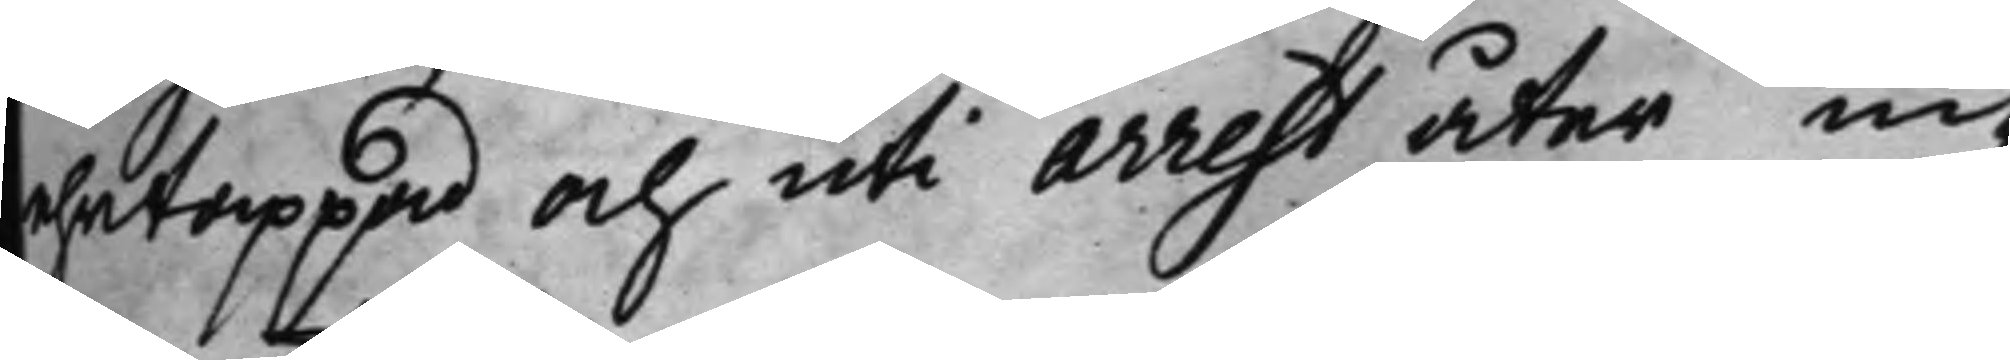ehrtappad och uti arrest åter in¬
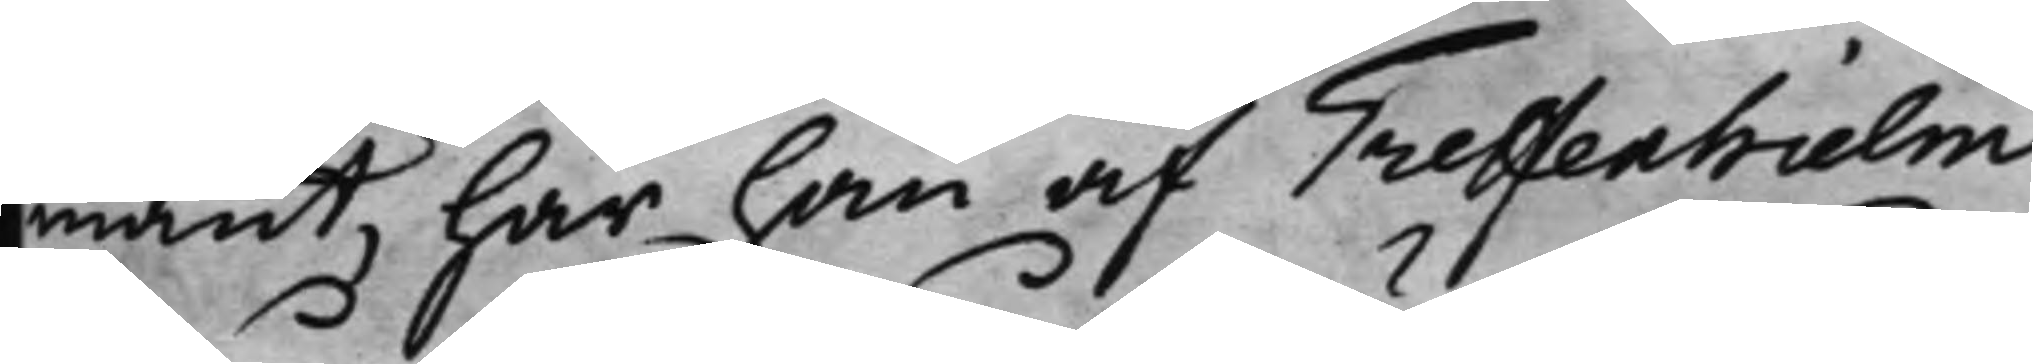mant, har han af Treffenhielm
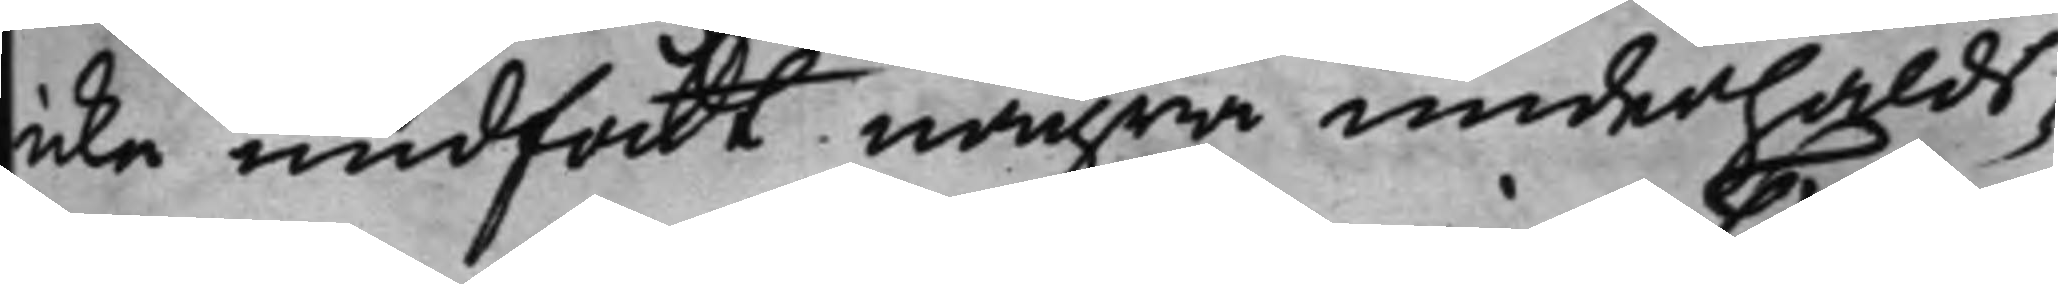icke undfått några underhålds¬
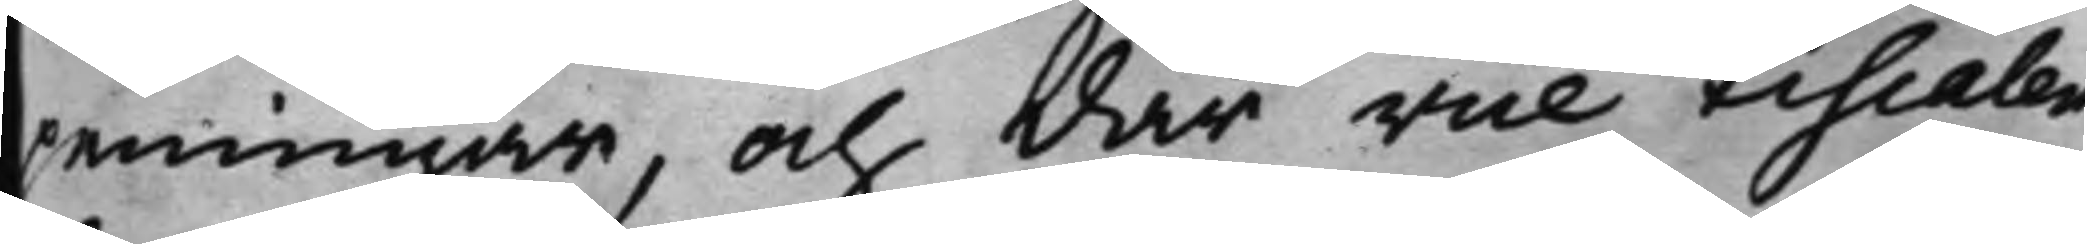penningar, och där vice Fiscalen
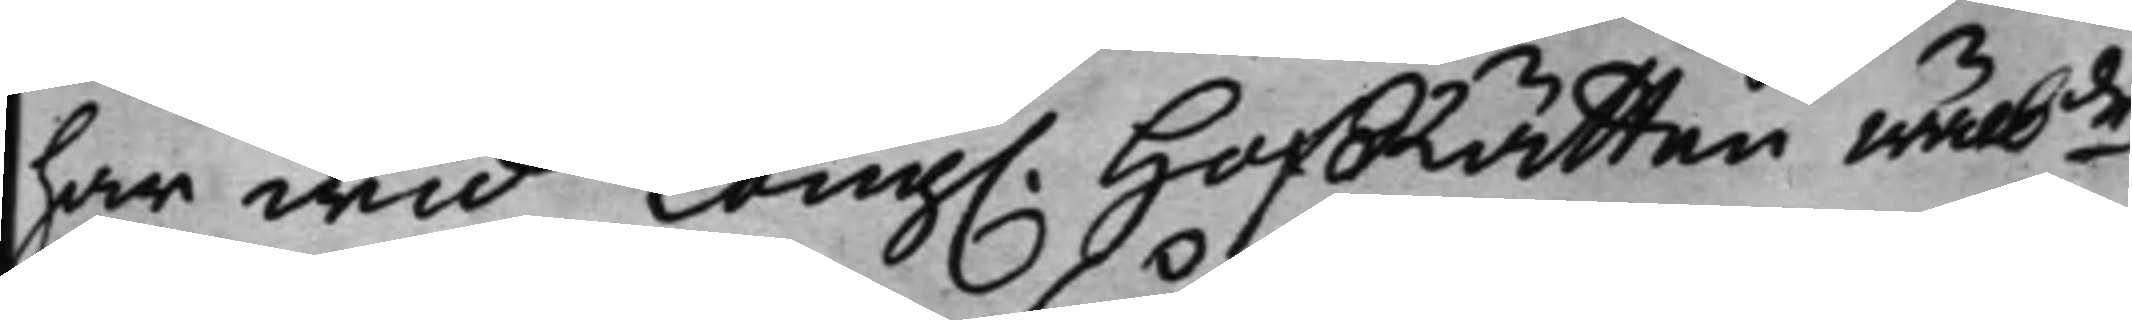har wid Kong. HofRätten wälbde
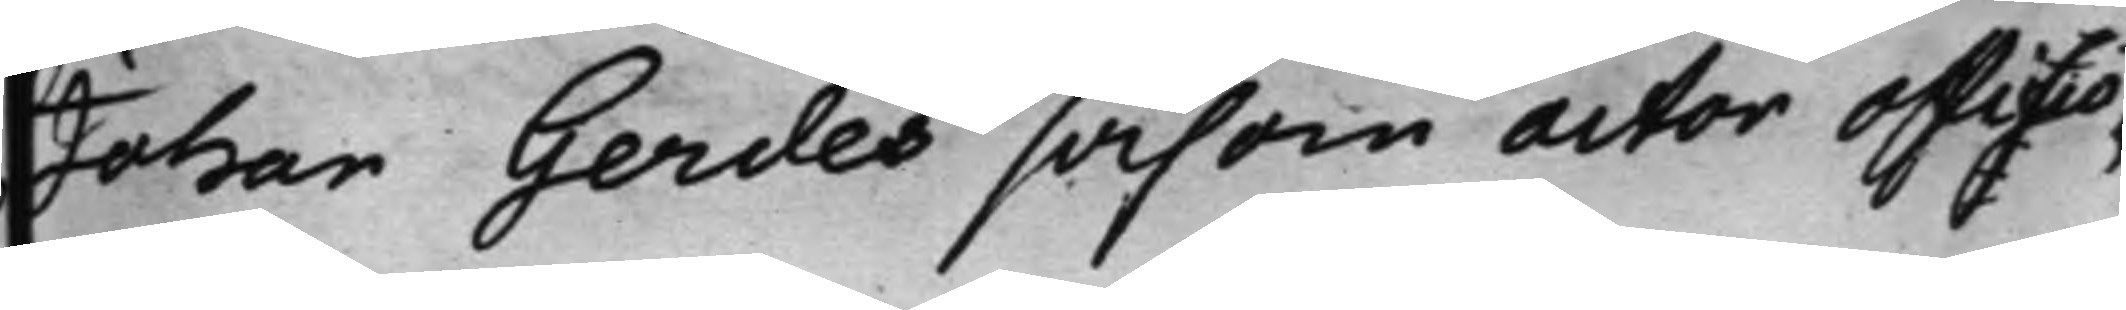Johan Gerdes såsom actor officsio,
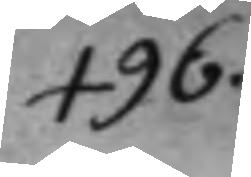496.
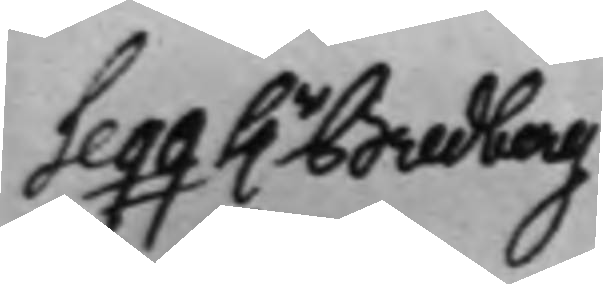Seqq h.r Bredberg
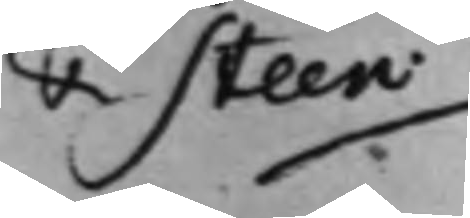& Steen.
